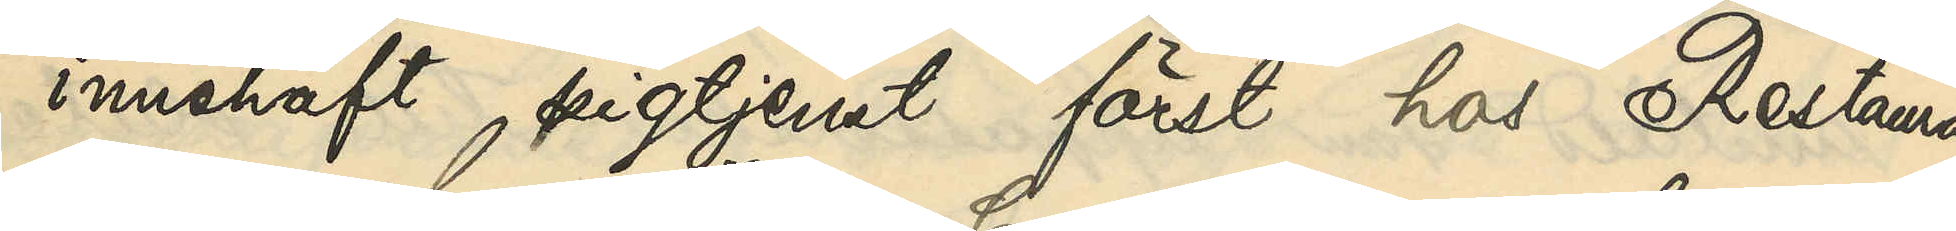innehaft pigtjenst först hos Restaura¬
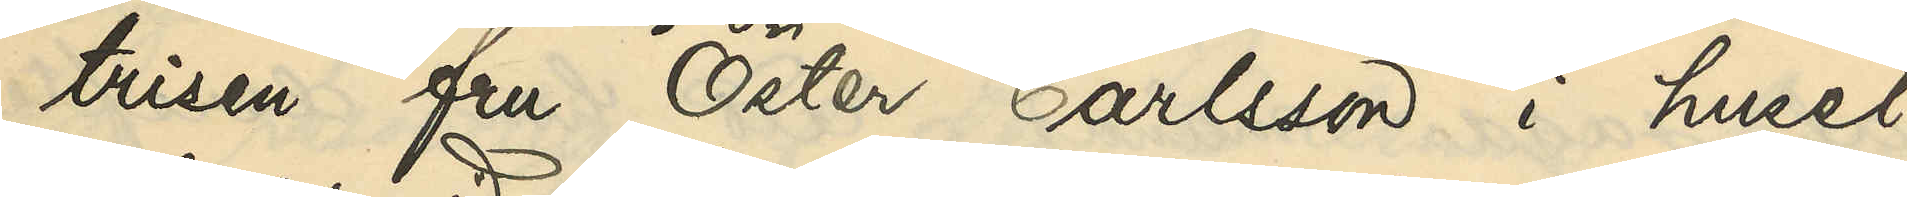trisen fru Öster Carlsson i huset
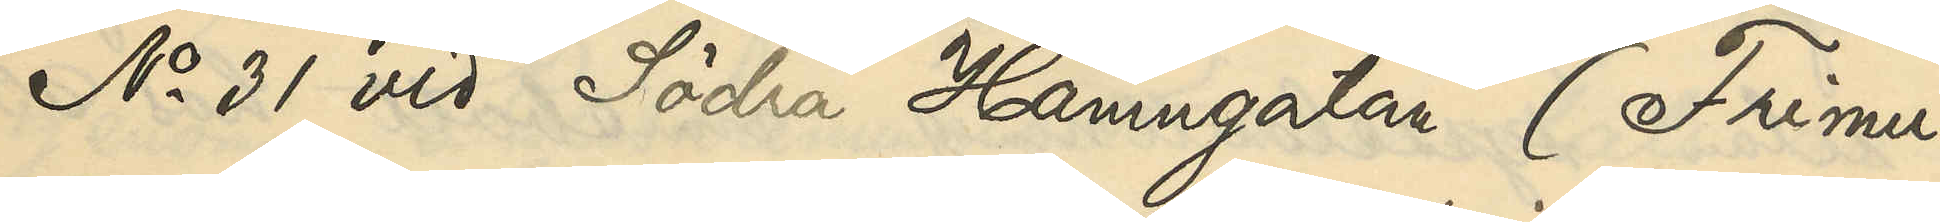No 31 vid Södra Hamngatan (Frimu¬
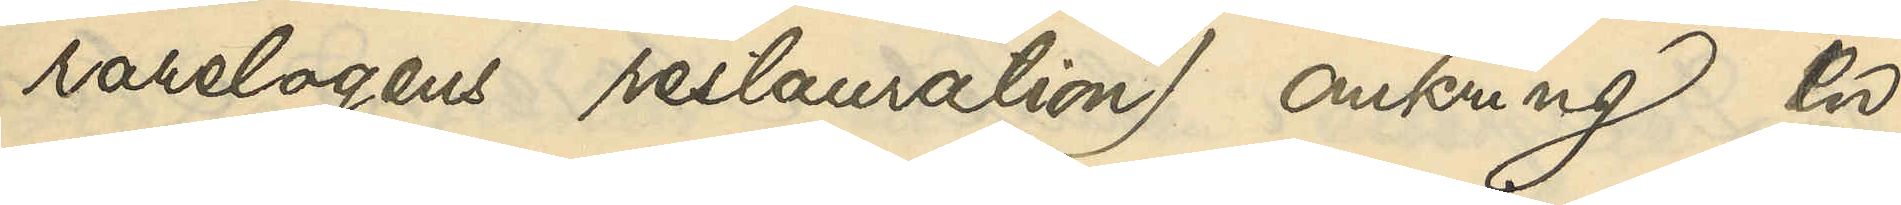rarelogens restauration) omkring en
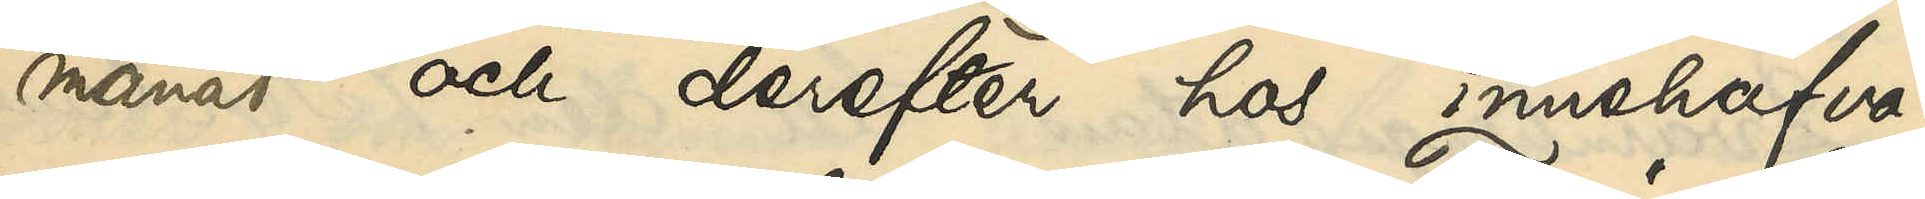månad och derefter hos innehafva¬
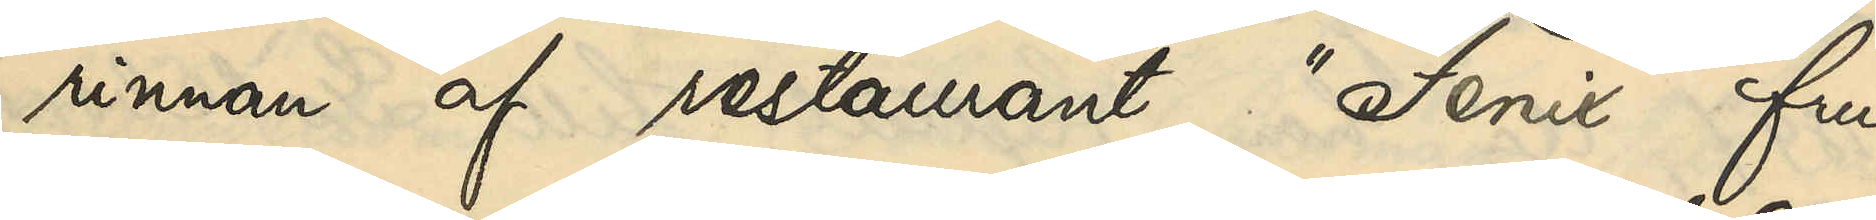rinnan af restaurant "Fenix" fru
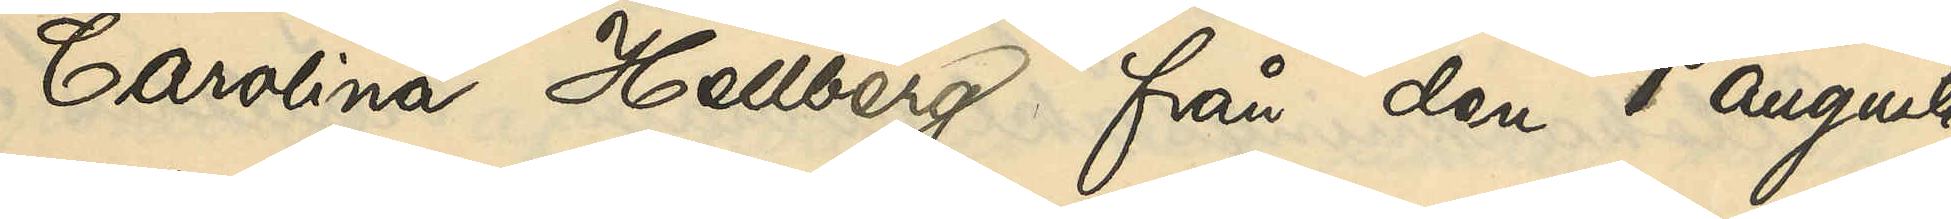Carolina Hellberg från den 1 augusti
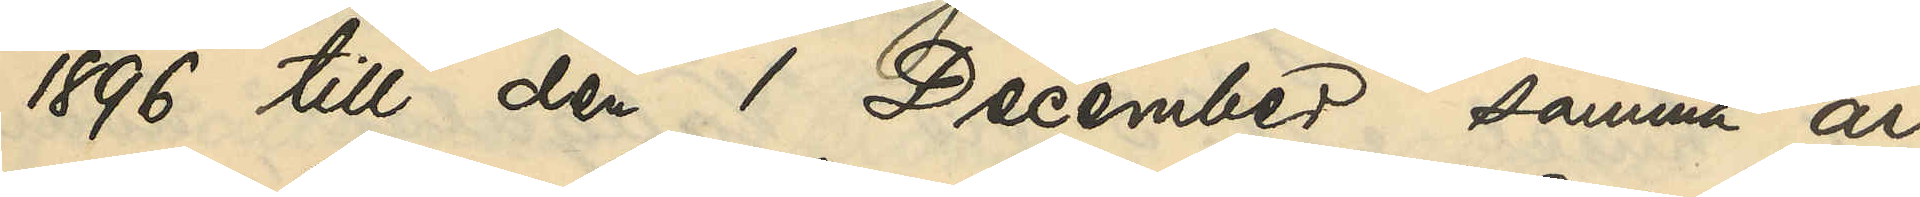1896 till den 1 December samma år
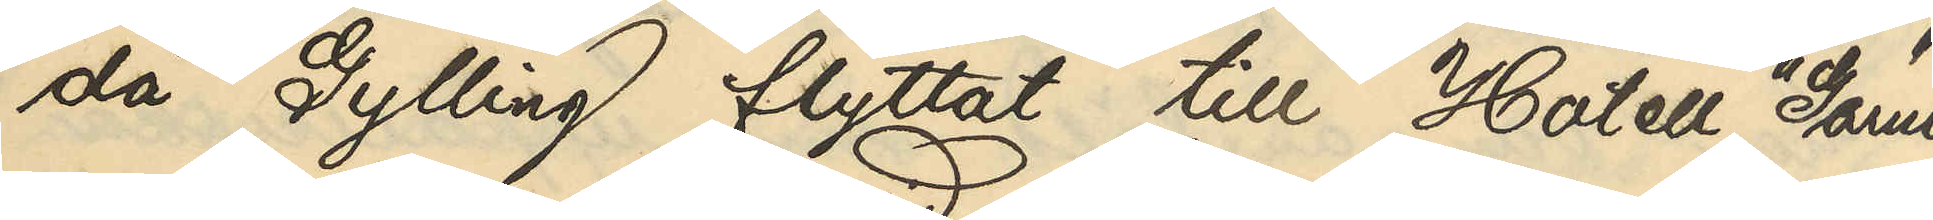då Gylling flyttat till Hotell "Garni"
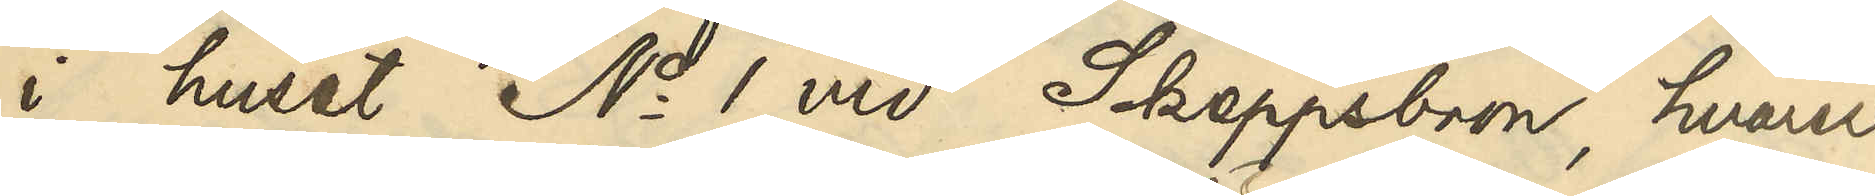i huset No 1 vid Skeppsbron, hvarest
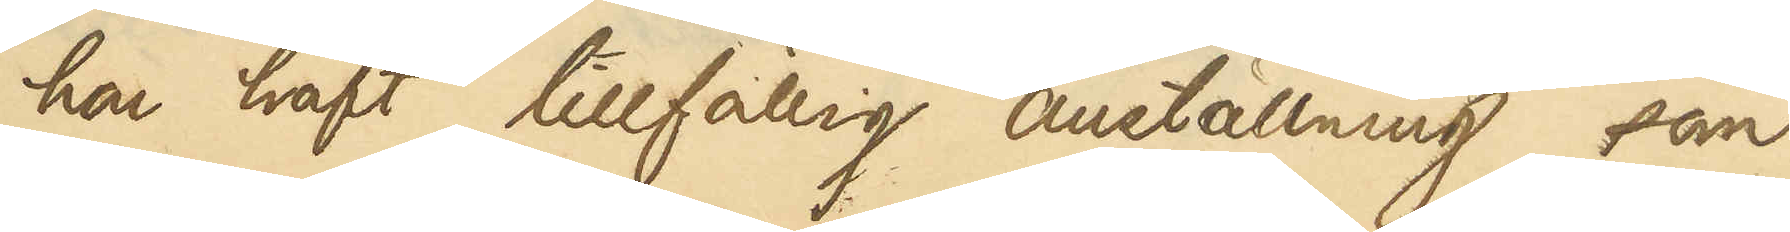hon haft tillfällig anställning som
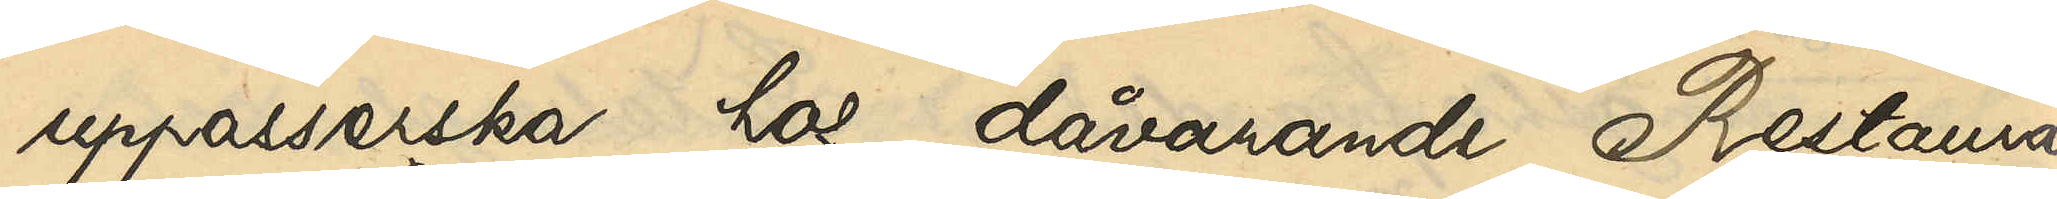uppasserska hos dåvarande Restaura¬
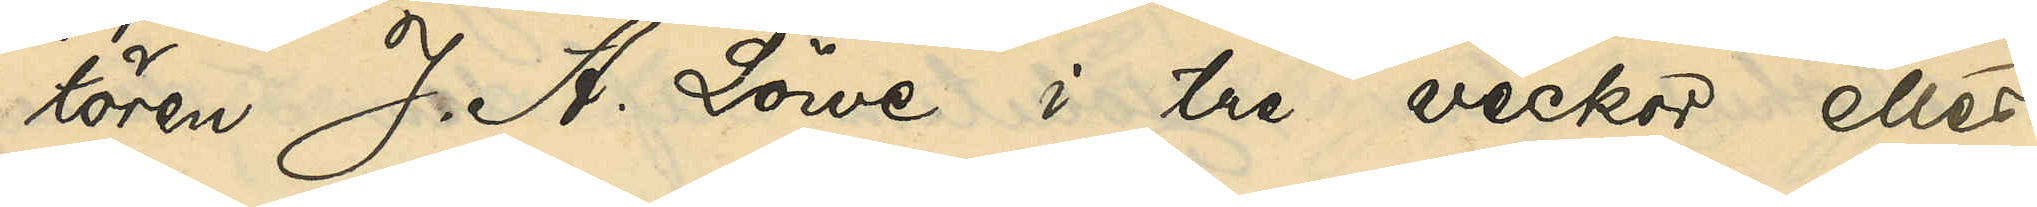tören J. A. Löwe i tre veckor eller
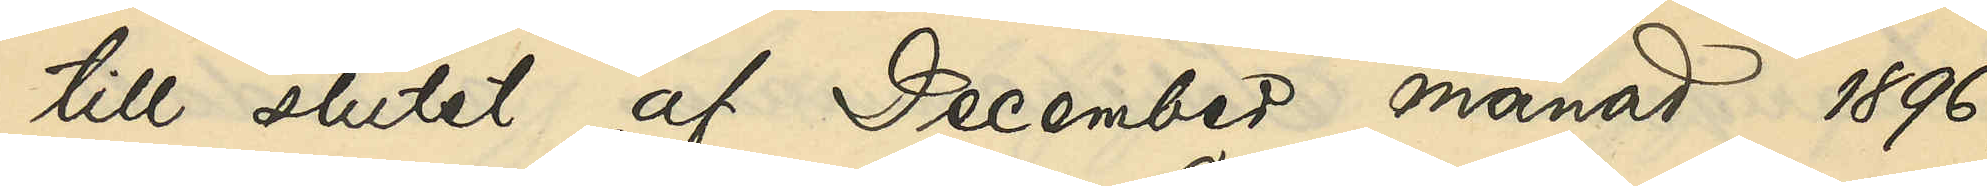till slutet af December månad 1896, 
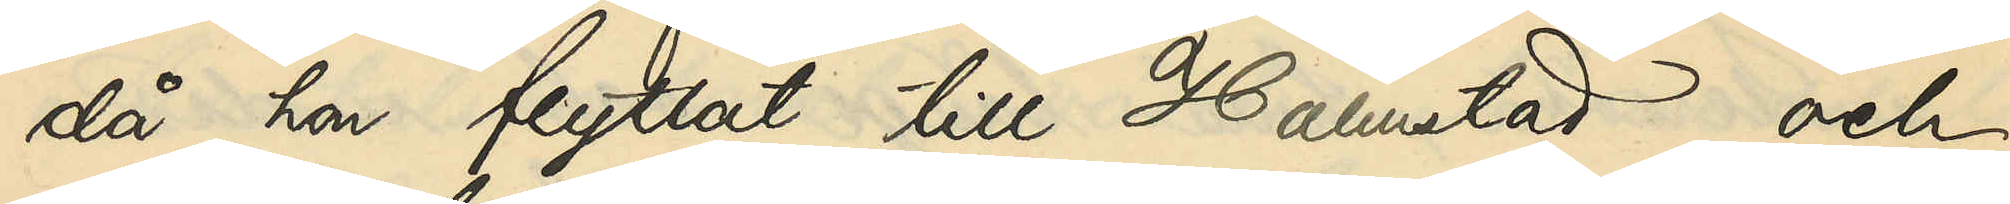då hon flyttat till Halmstad och
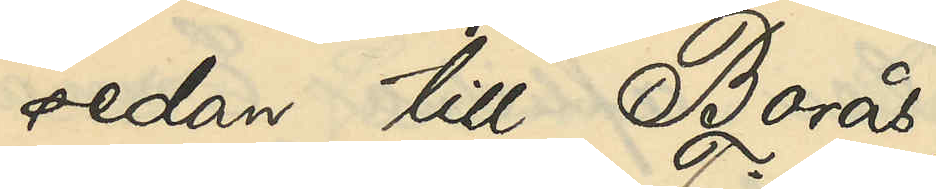sedan till Borås.
